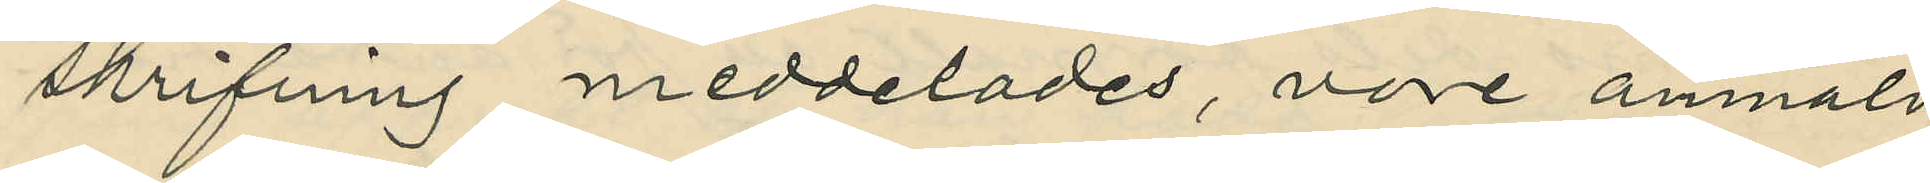skrifning meddelades, vore anmäld
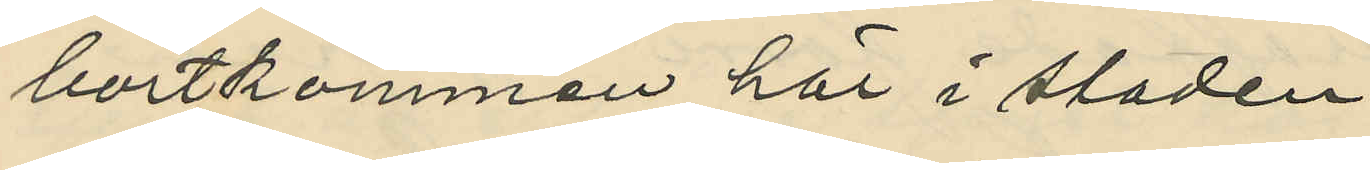bortkommen här i staden.
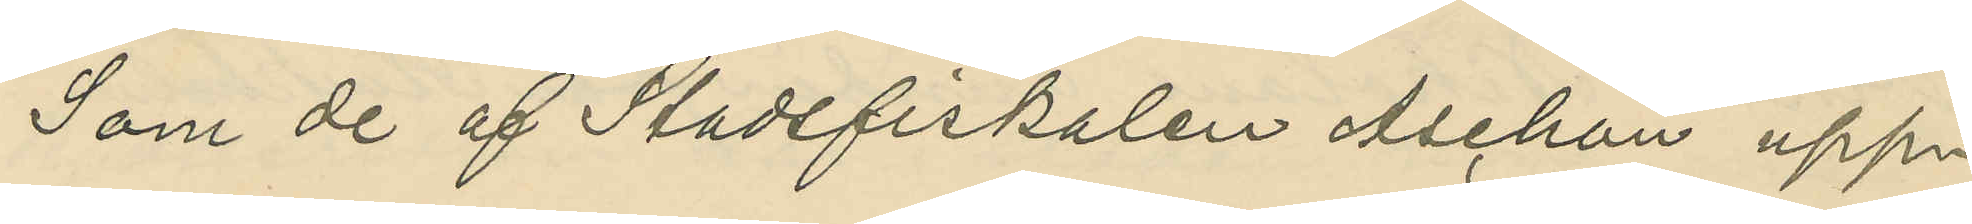Som de af Stadsfiskalen Aschan upp¬
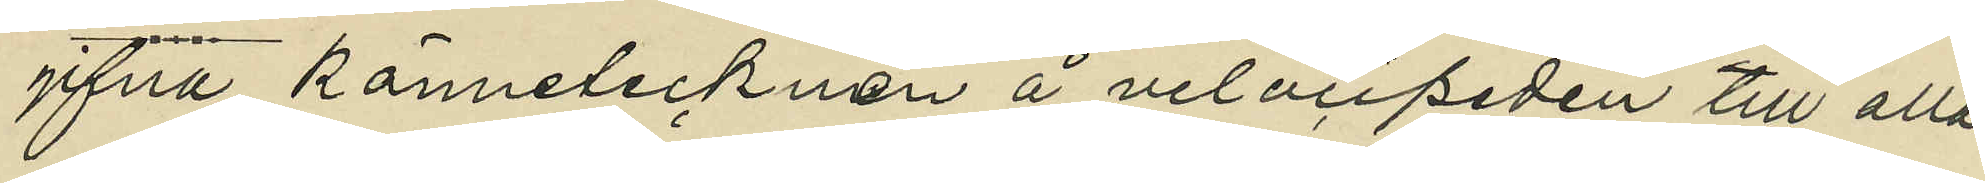gifna kännetecknen å velocipeden till alla
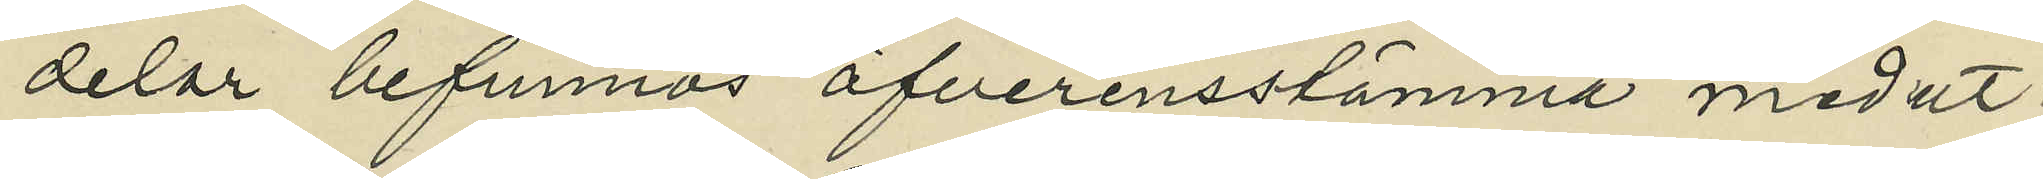delar befunnos öfverensstämma med ut¬
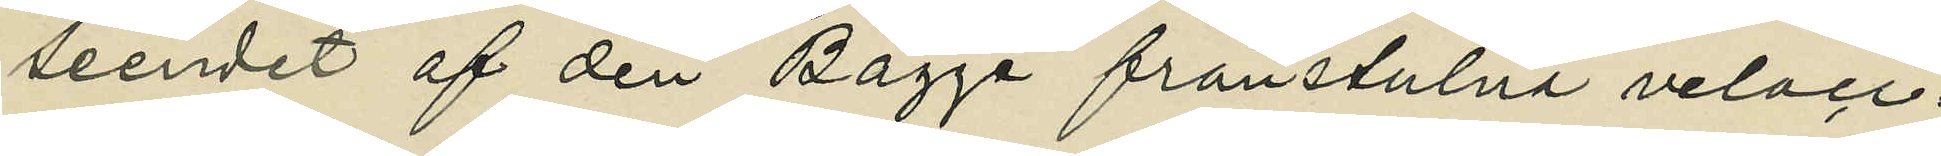seendet af den Bagge frånstulna veloci¬
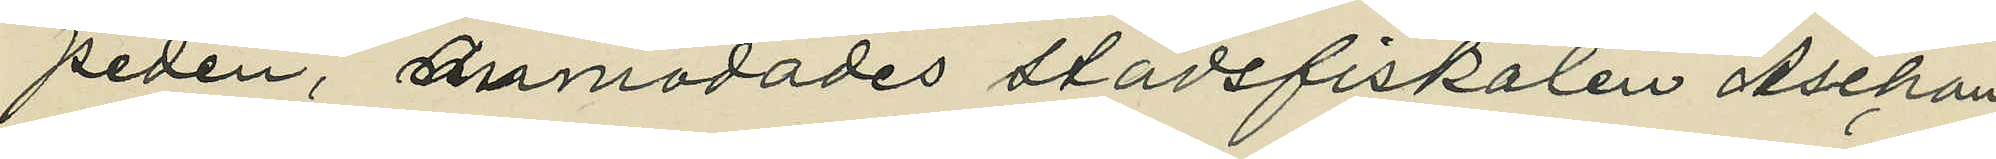peden, anmodades stadsfiskalen Aschan
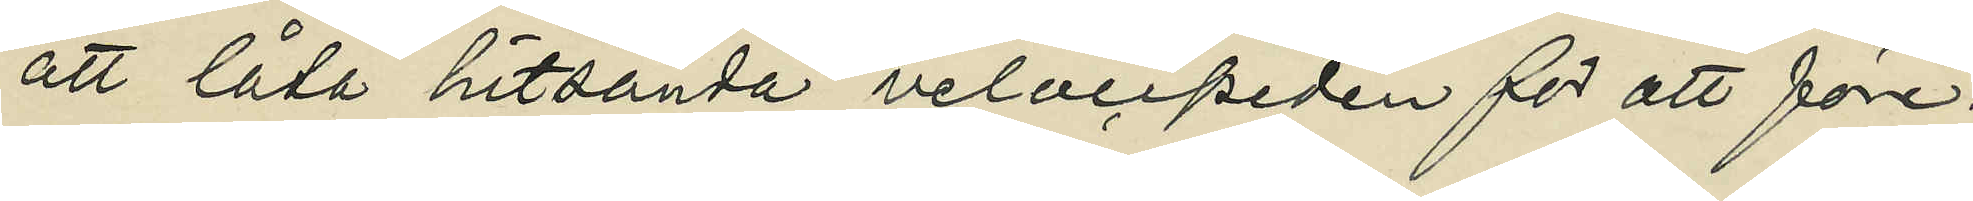att låta hitsända velocipeden för att före¬
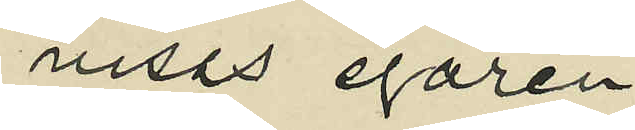visas egaren.
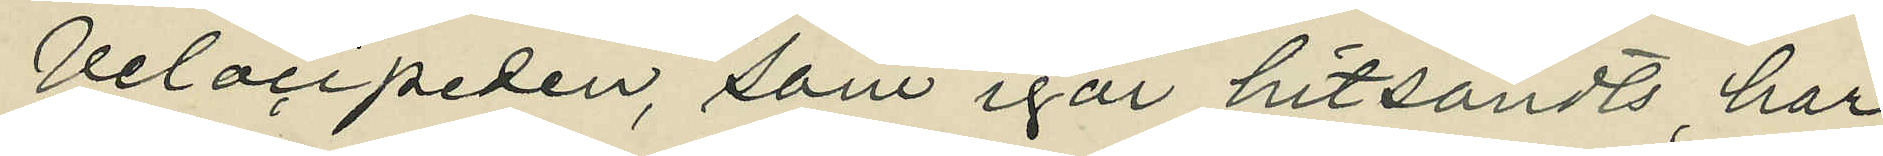Velocipeden, som igår hitsändts, har
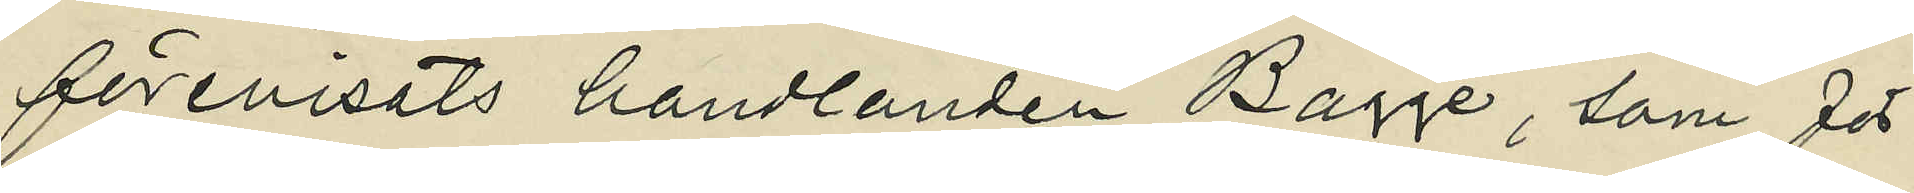förevisats handlanden Bagge, som för¬
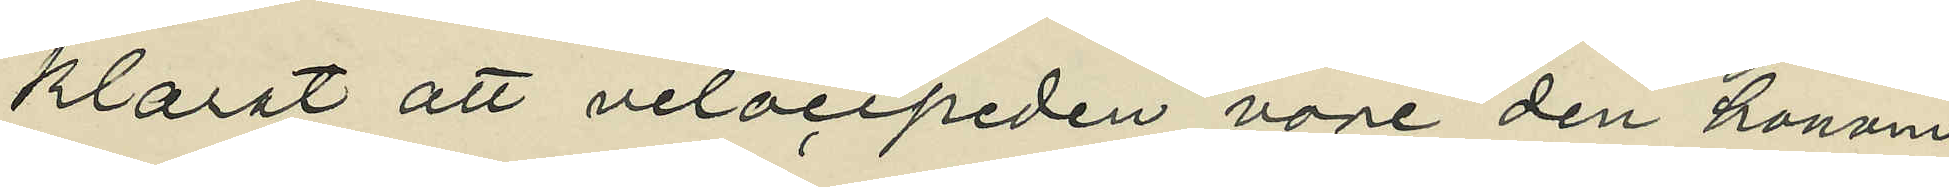klarat att velocipeden vore den honom
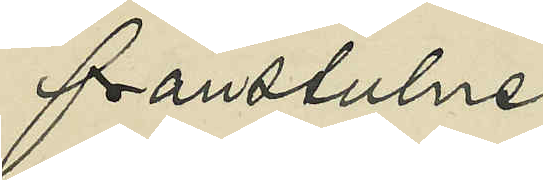frånstulne.
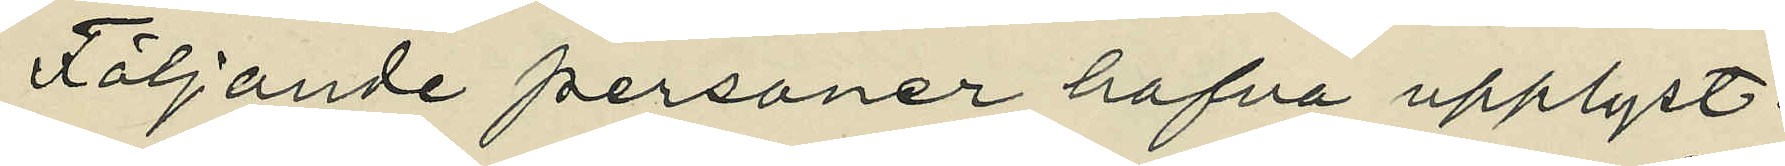Följande personer hafva upplyst :
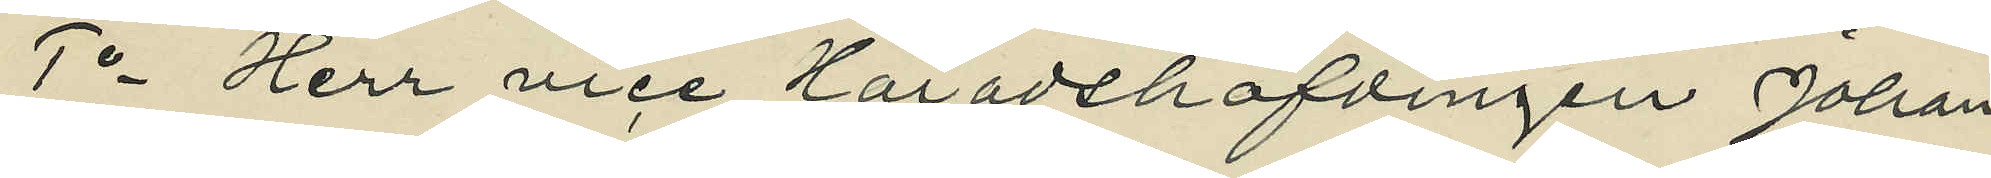1o Herr vice Häradshöfdingen Johan
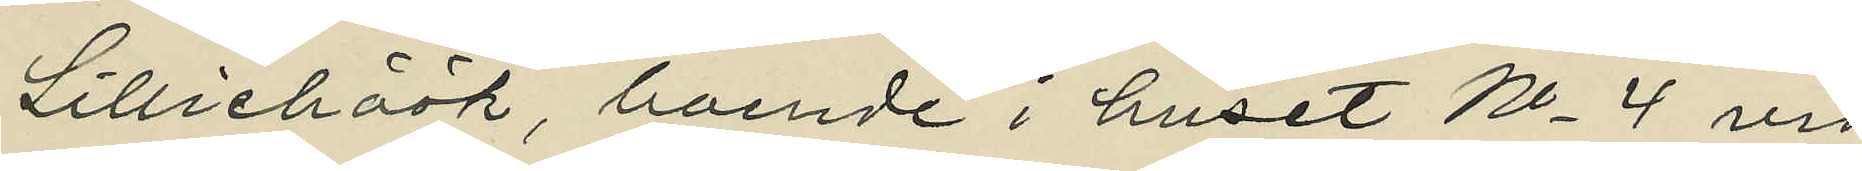Lilliehöök, boende i huset No 4 vid
